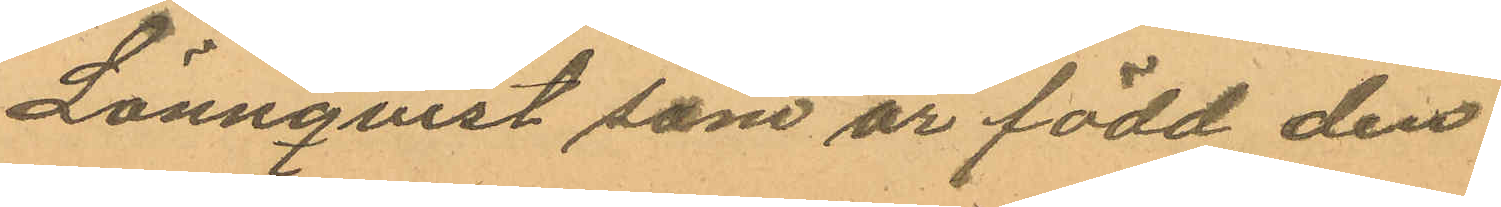Lönnqvist som är född den
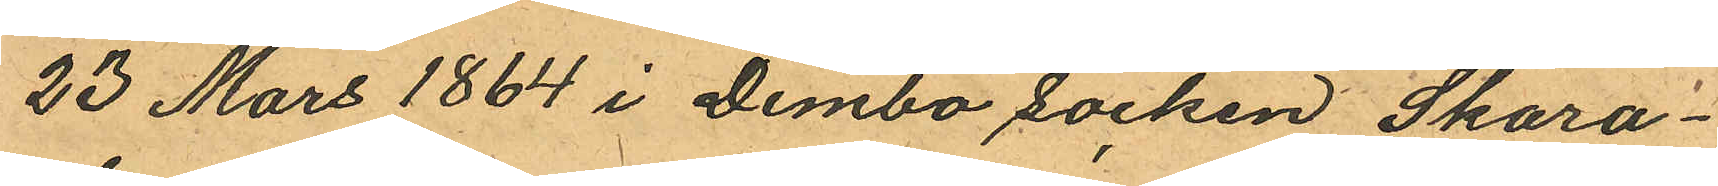23 Mars 1864 i Dimbo socken Skara¬
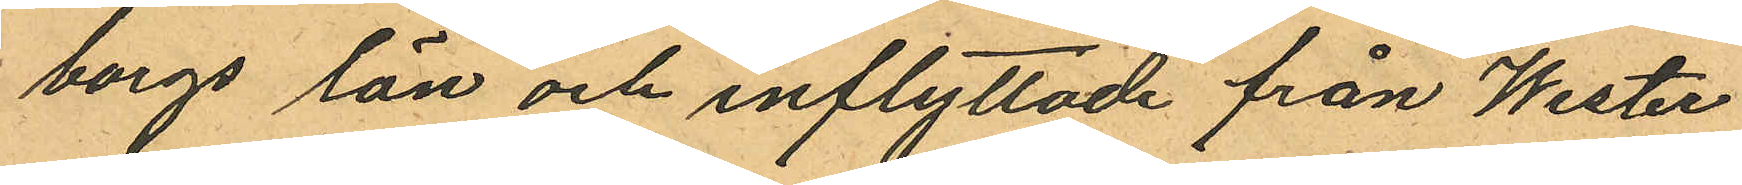borgs län och inflyttade från Wester
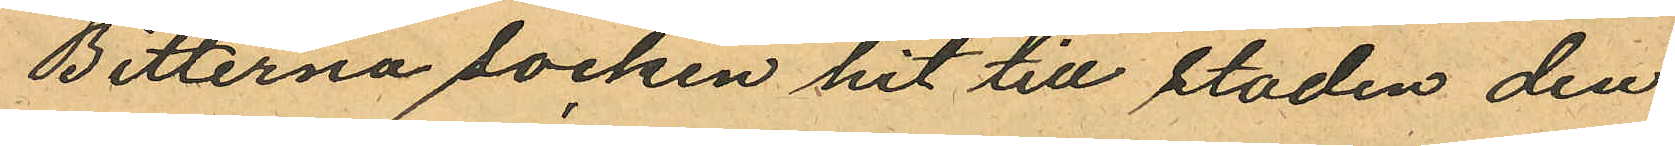Bitterna socken hit till staden den
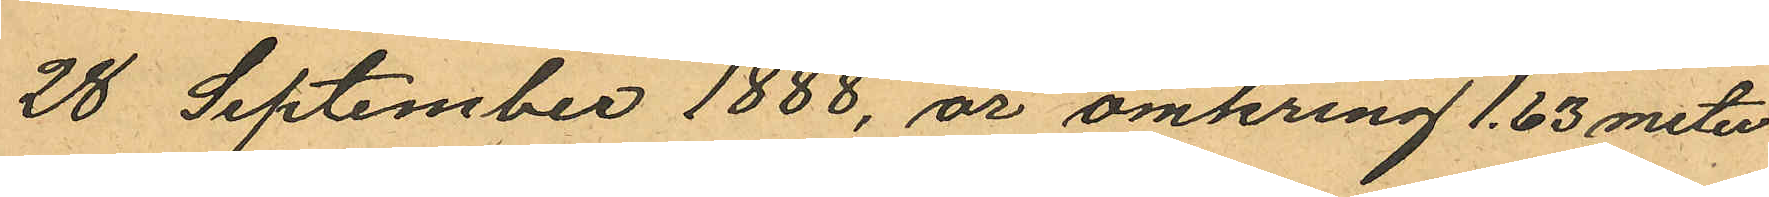28 September 1888, är omkring 1,63 meter
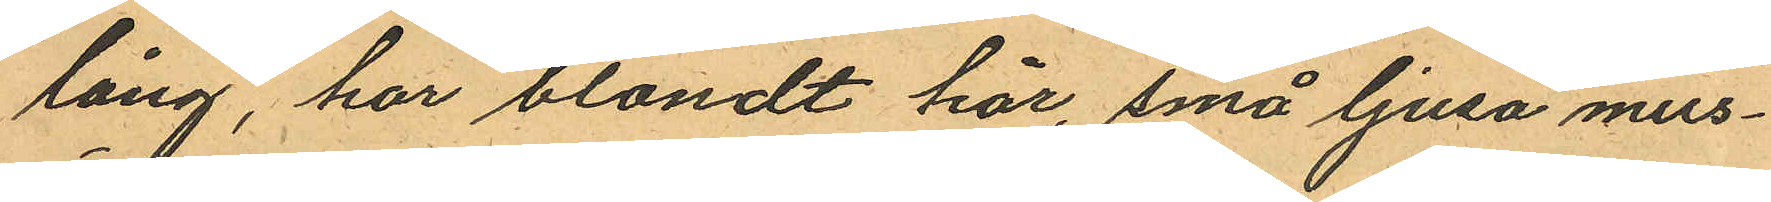lång, har blondt hår, små ljusa mus¬
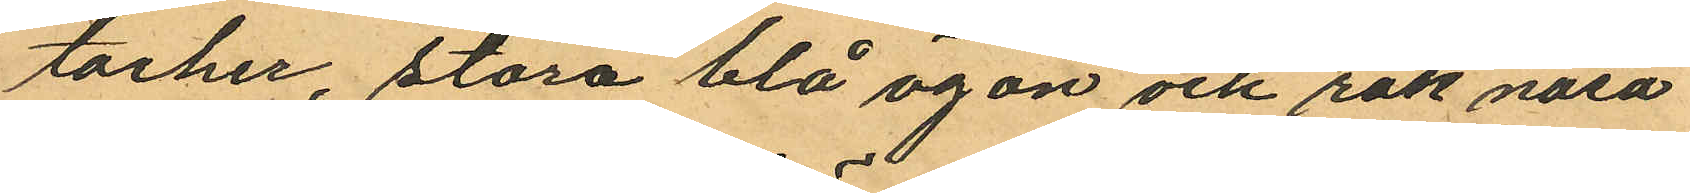tacher, stora blå ögon och rak näsa
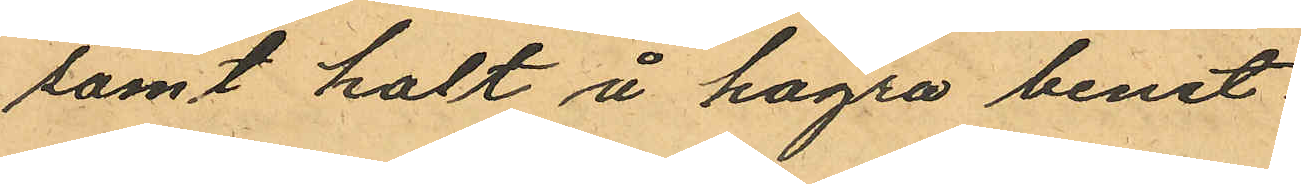samt halt å högra benet
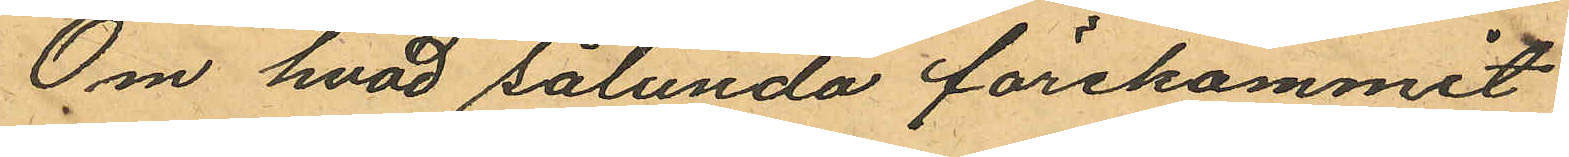Om hvad sålunda förekommit
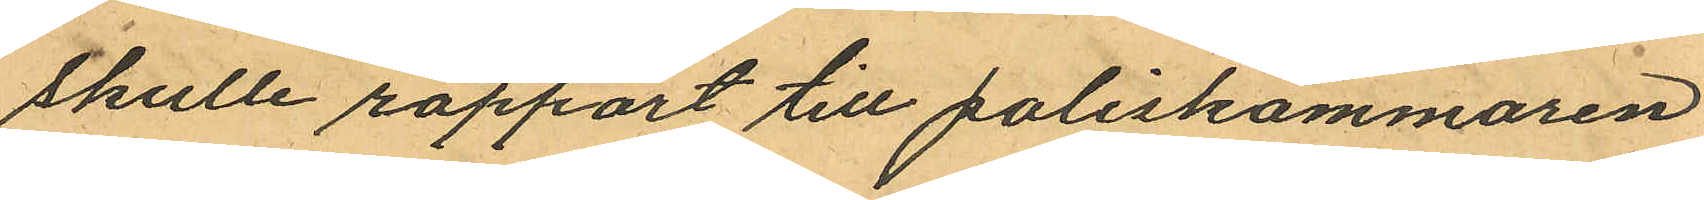skulle rapport till poliskammaren
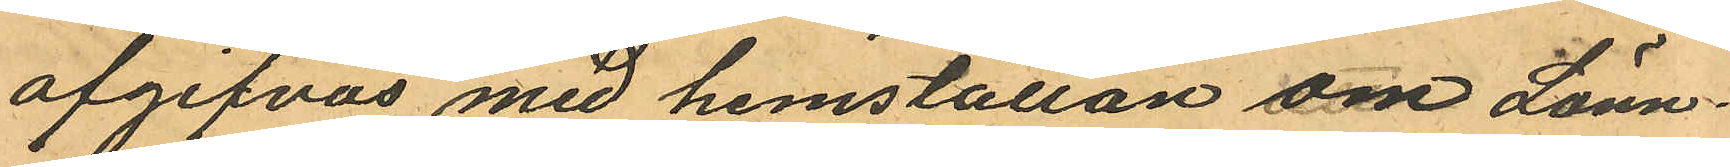afgifvas med hemställan om Lönn¬
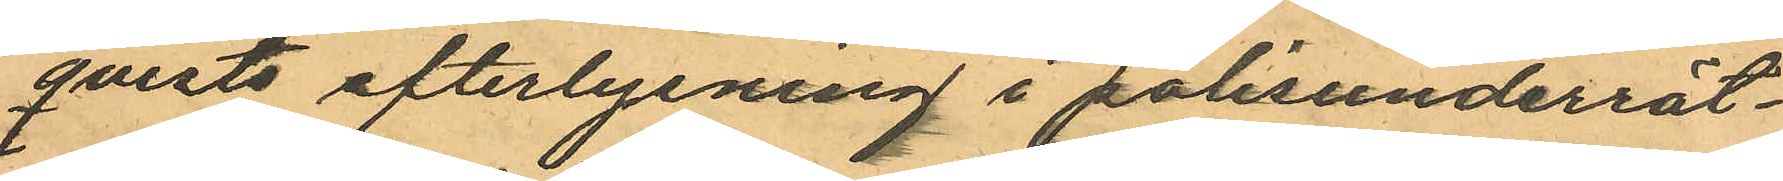qvists efterlysning i polisunderrät¬
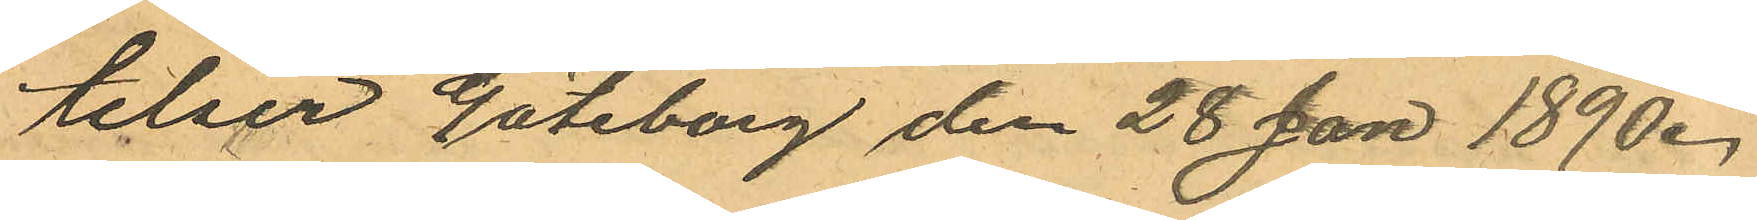telser Göteborg den 28 Jan 1890.
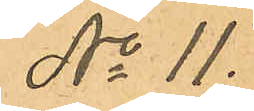No 11.
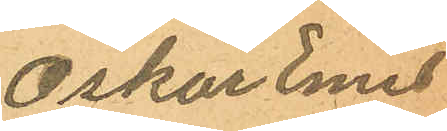Oskar Emil
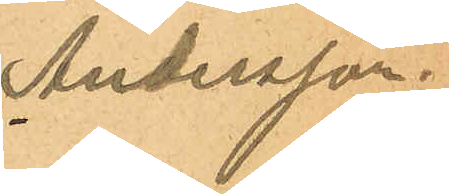Andersson.
